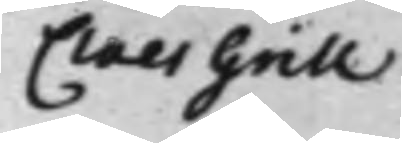Claes Grill
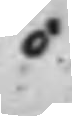C
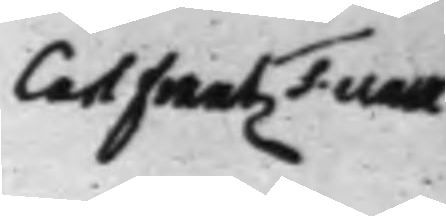Carl Frantz Funck
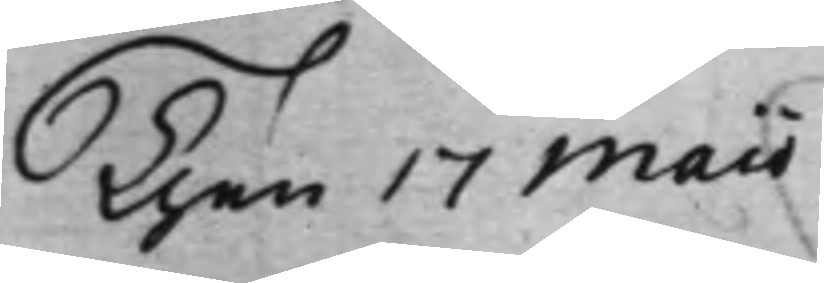Then 17 Maii
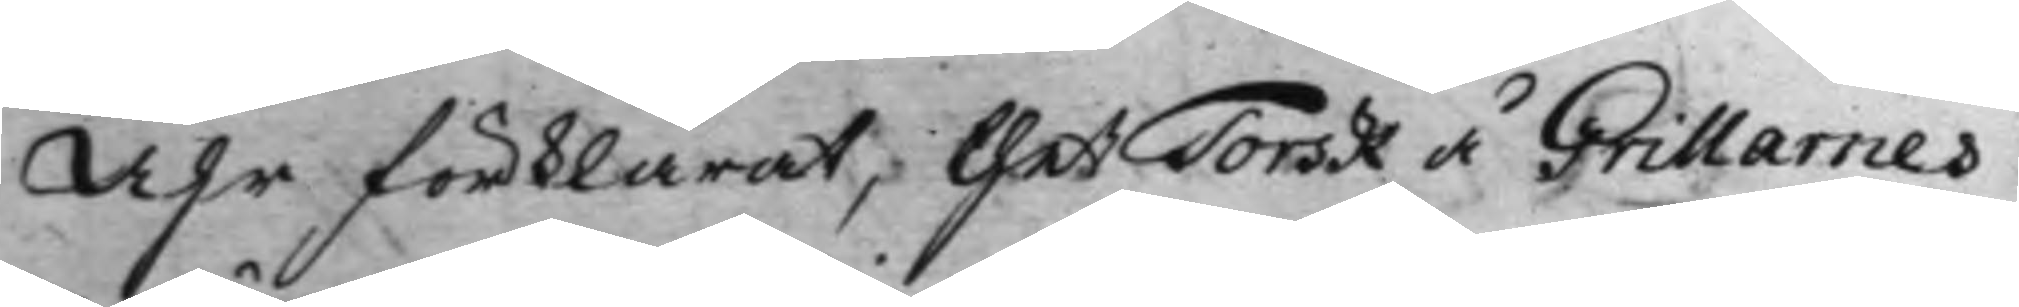Åhr förklarat, thet Torsk å Grillarnes
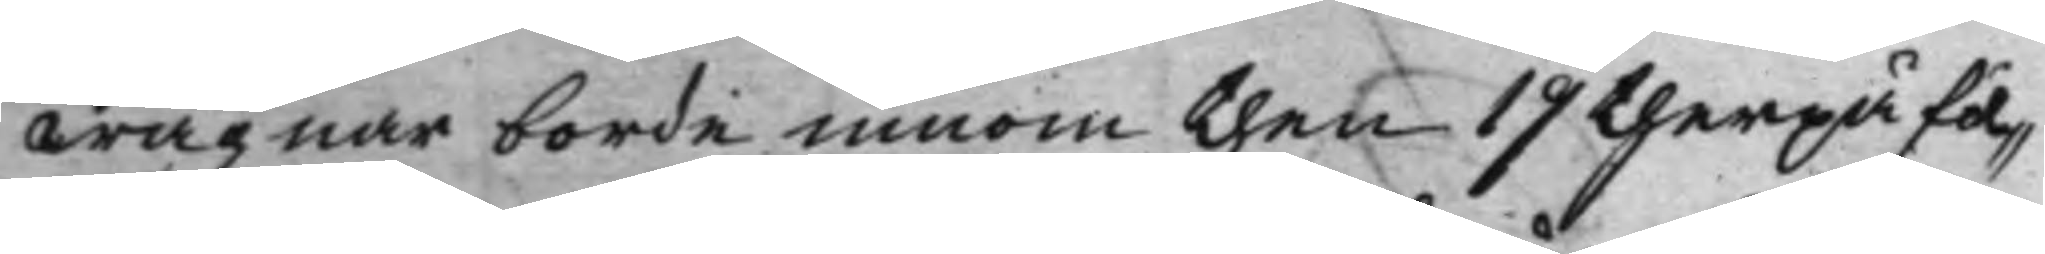wägnar borde innom then 19 therpå föl¬
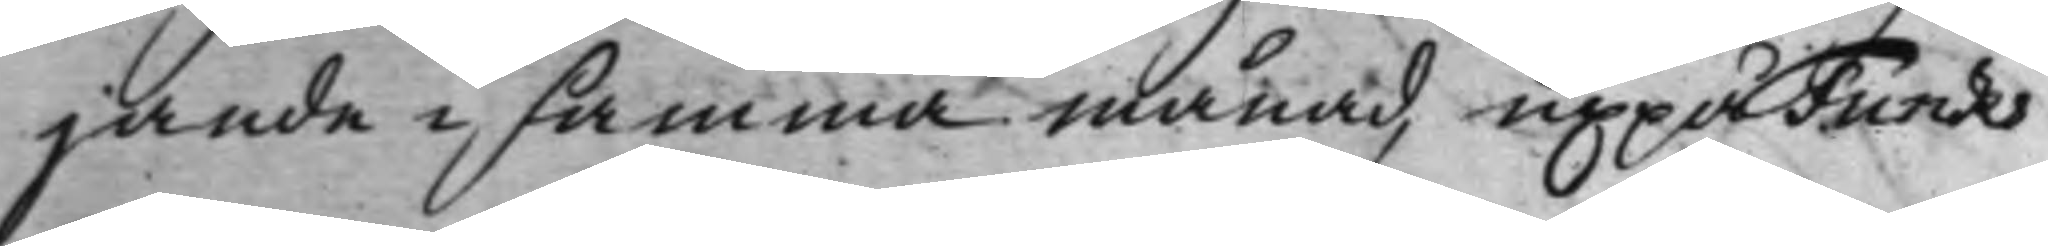jande i samma månad, uppå Funcks
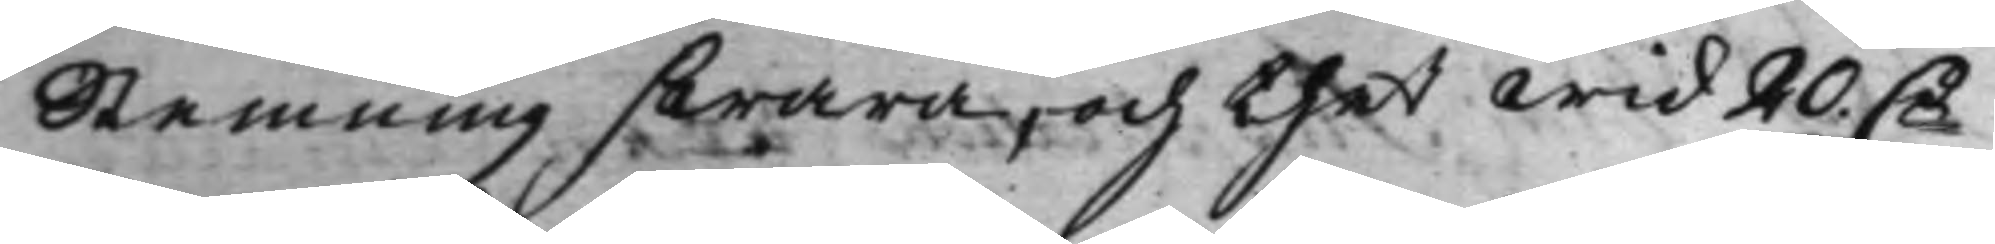Stemning swara, och thet wid 20 Dr
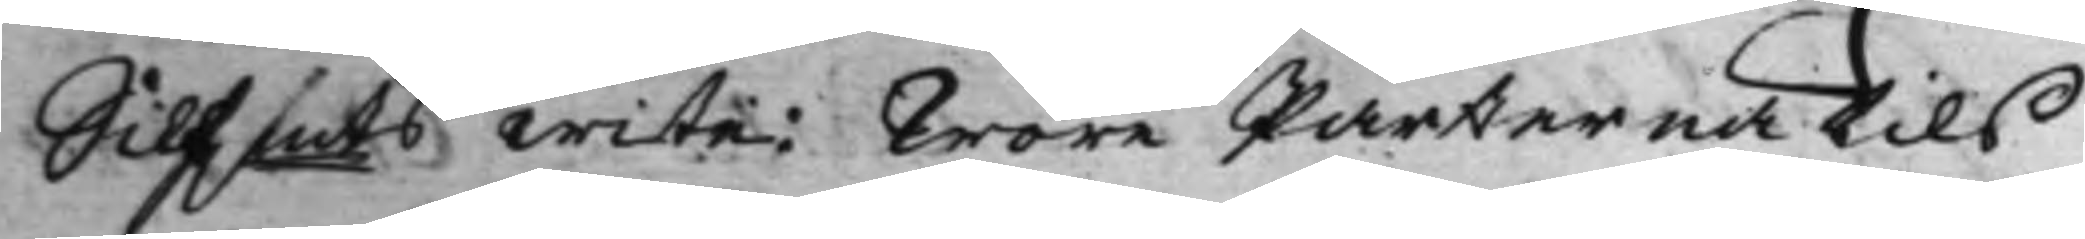Silf.mts wite: Wore Parterna tils
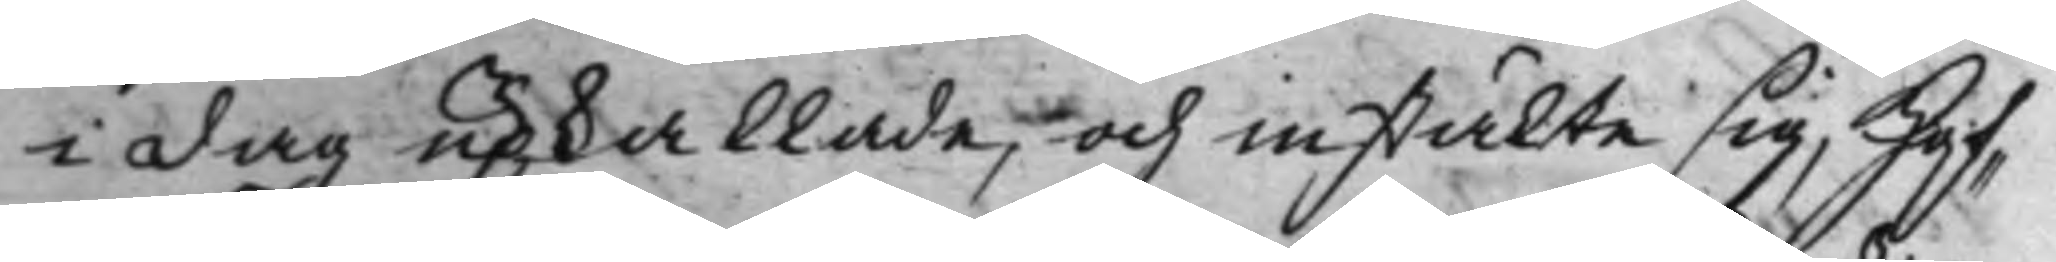i dag upkallade, och instälte sig, Hof¬
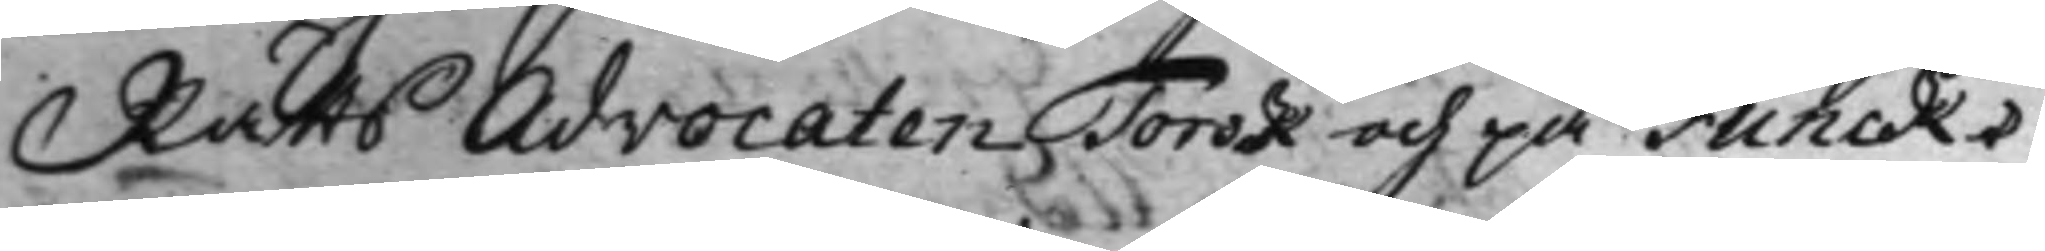Rätts Advocaten Torsk och på Funcks
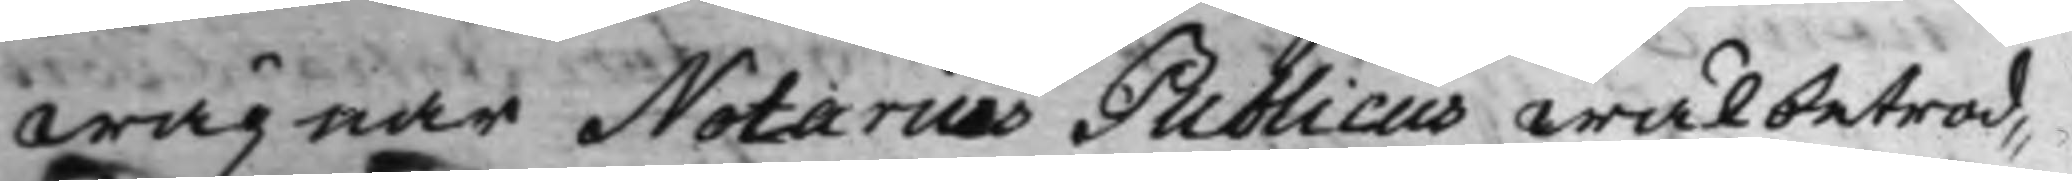wägnar Notarius Publicus wälbetrod¬
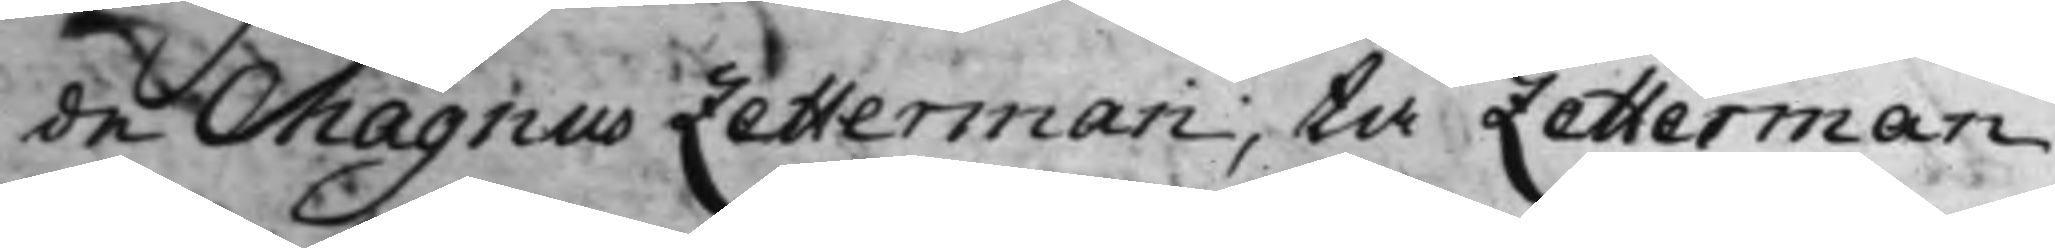de Magnus Zetterman, tå Zetterman
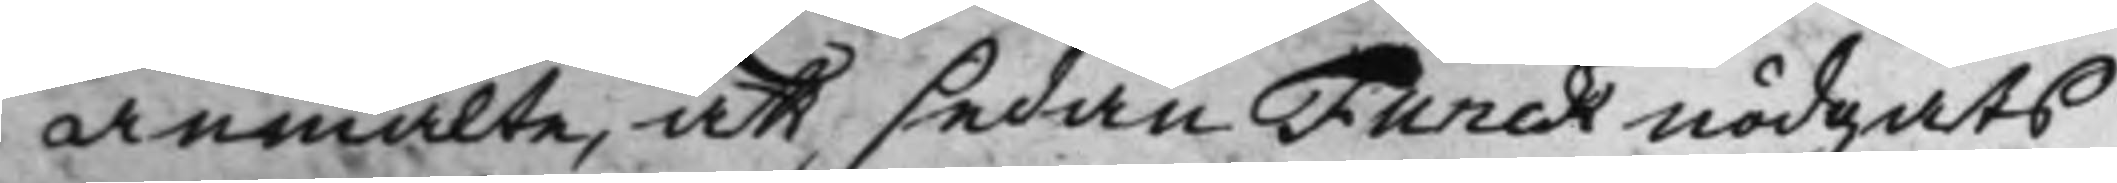anmälte, att sedan Funck nödgats
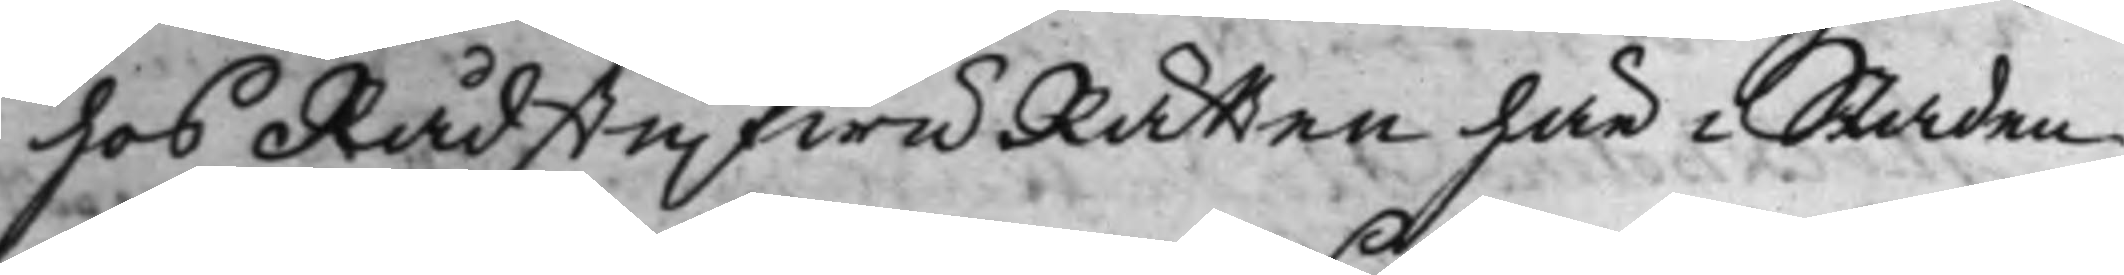hos RådstufwuRätten här i Staden
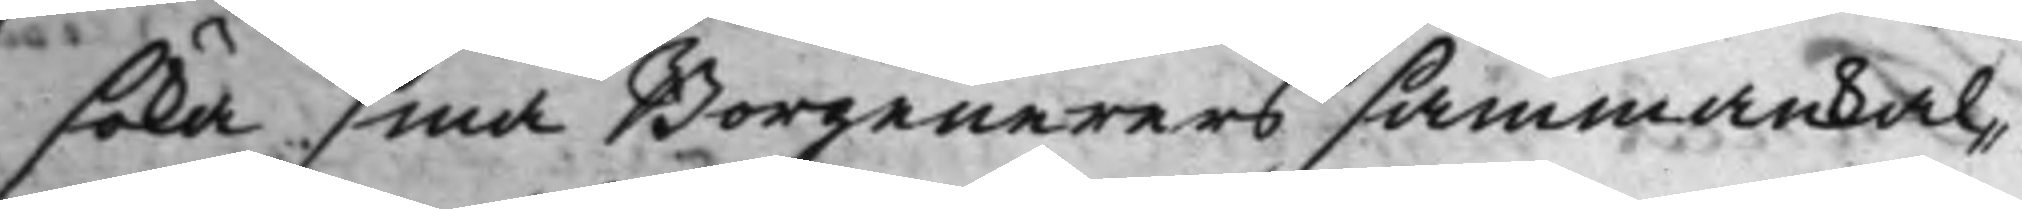söka sina Borgenerers sammankal¬
